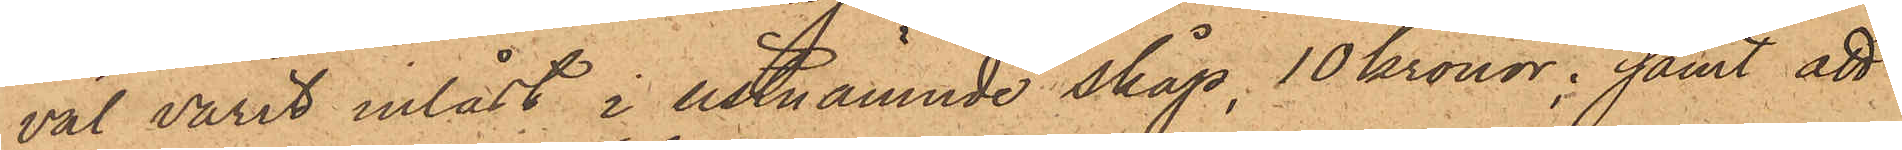väl varit inlast i sistnämnde skåp, 10 kronor; samt att
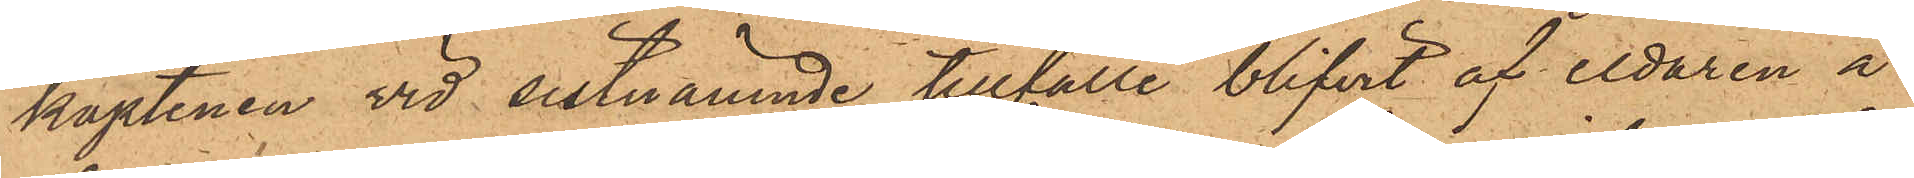kaptenen vid sistnämnde tillfälle blifvit af eldaren å
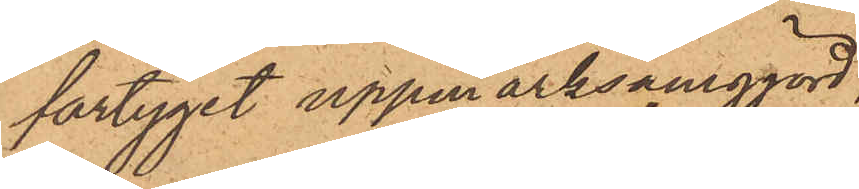fartyget uppmärksamgjord,
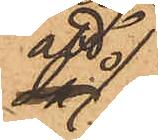att
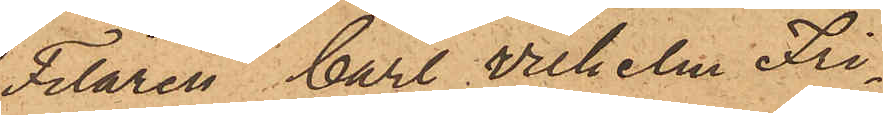Filaren Carl Wilhelm Fri¬
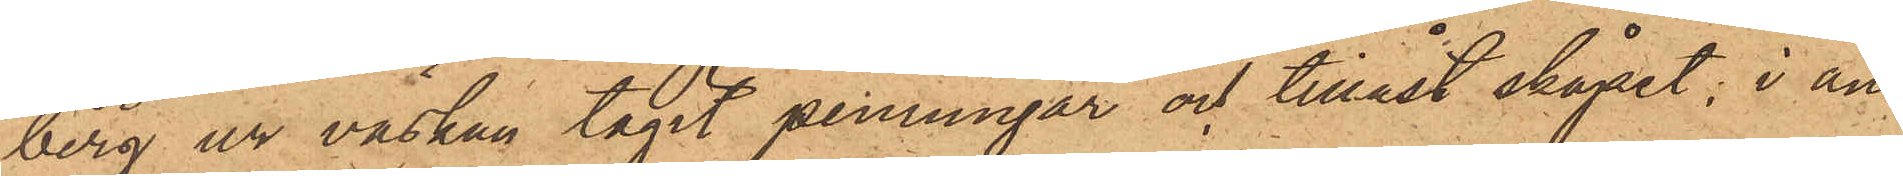berg ur väskan tagit penningar och tillåst skåpet; i an¬
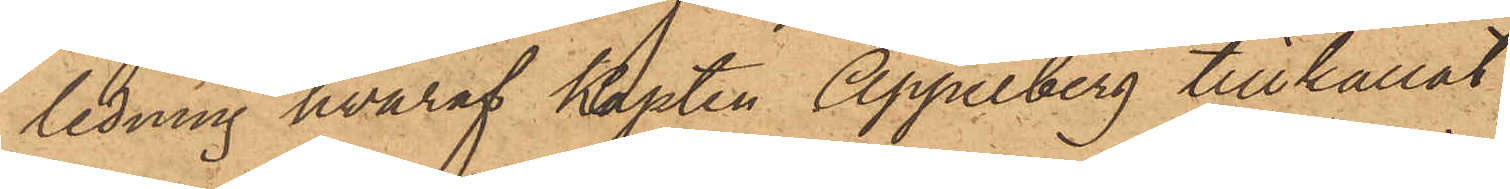ledning hvaraf Kapten Appelberg tillkallat
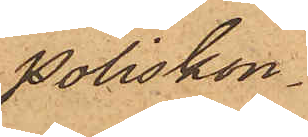Poliskon¬
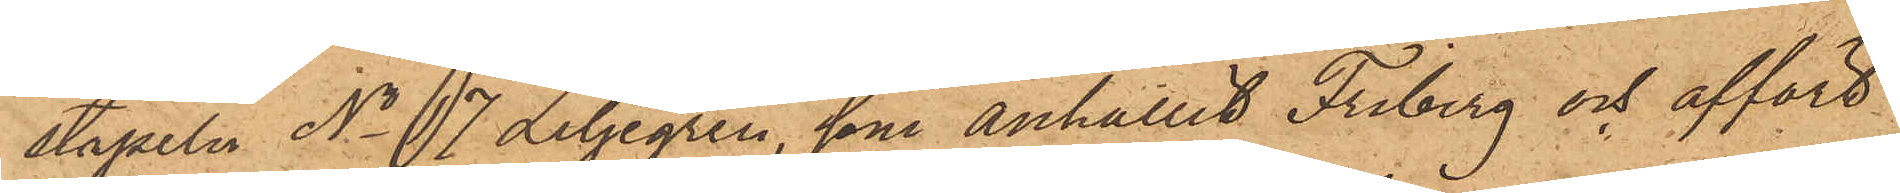stapeln No 17 Liljegren, som anhållit Friberg och affört
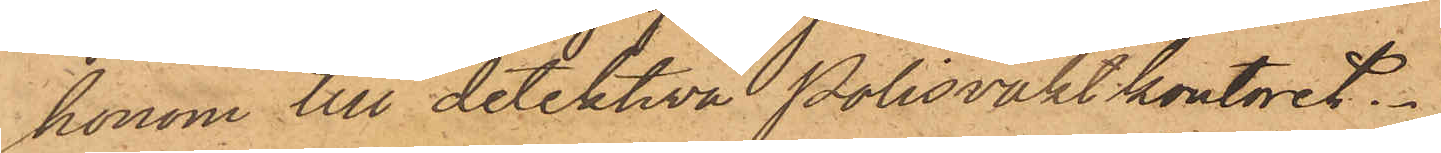honom till detektiva Polisvaktkontoret.
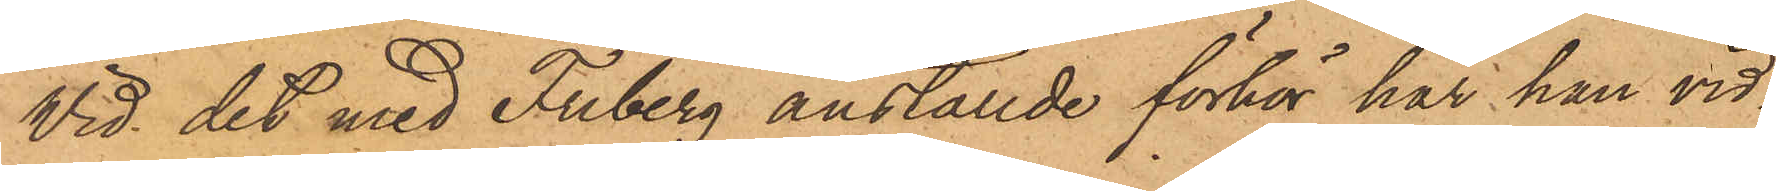Vid det med Friberg anställde förhör har han vid¬
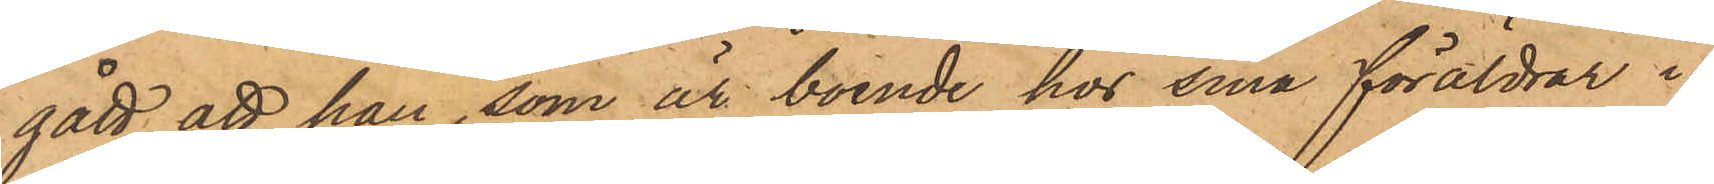gått att han, som är boende hos sina föräldrar i
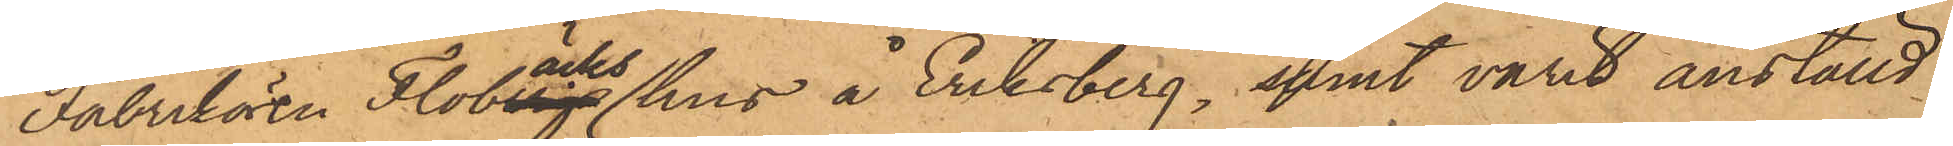Fabrikören Flobäcks hus å Eriksberg, samt varit anställd
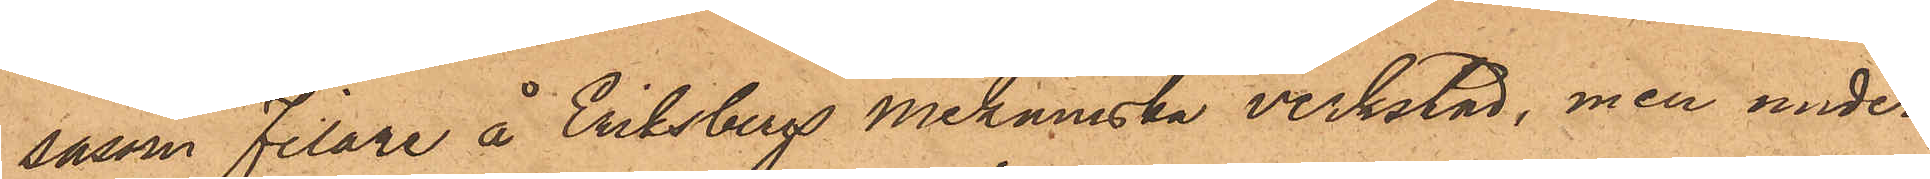såsom filare å Eriksbergs mekaniska verkstad, men under
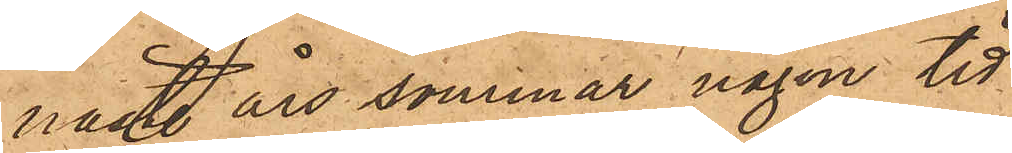nästl. års sommar någon tid
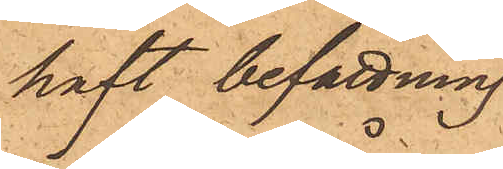haft befattning
